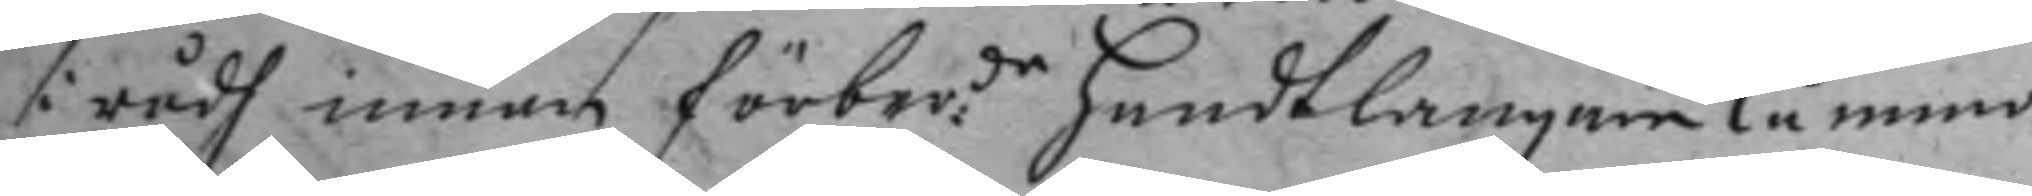i rådh innan förber:de handtlanaren kåmmo
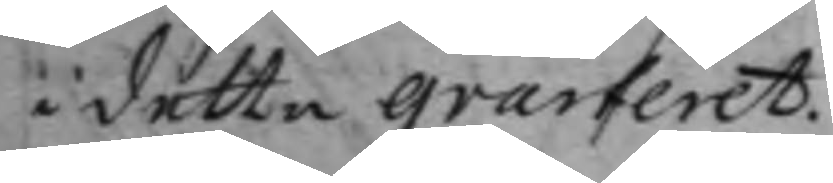i detta qvarteret.
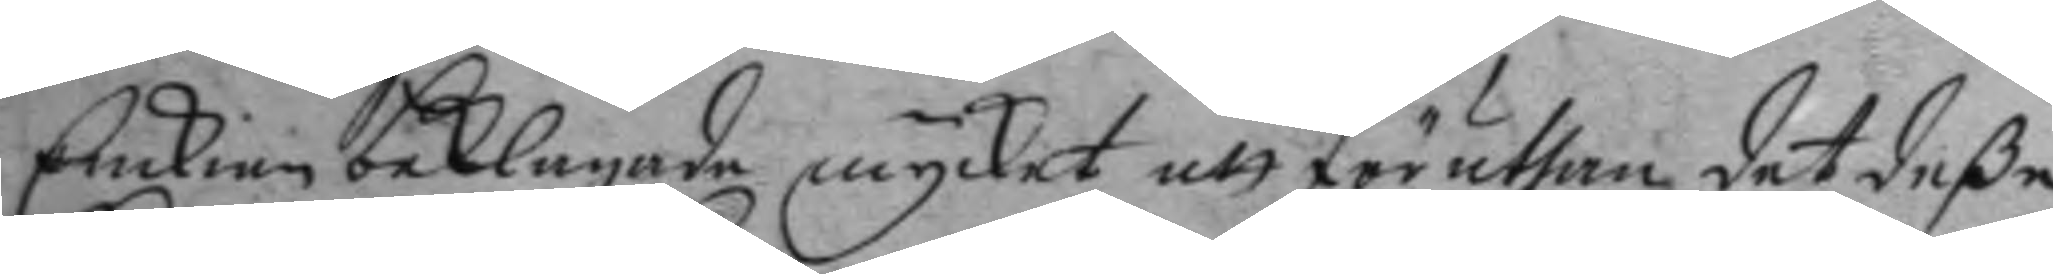Enckian beklagade mycket att föruthan det deße
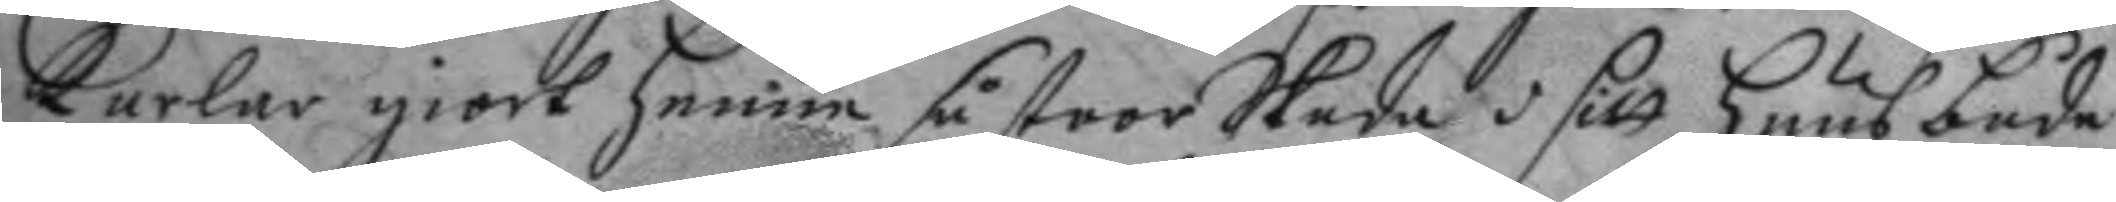karlar giort henne så stoor Skada i sitt huus både
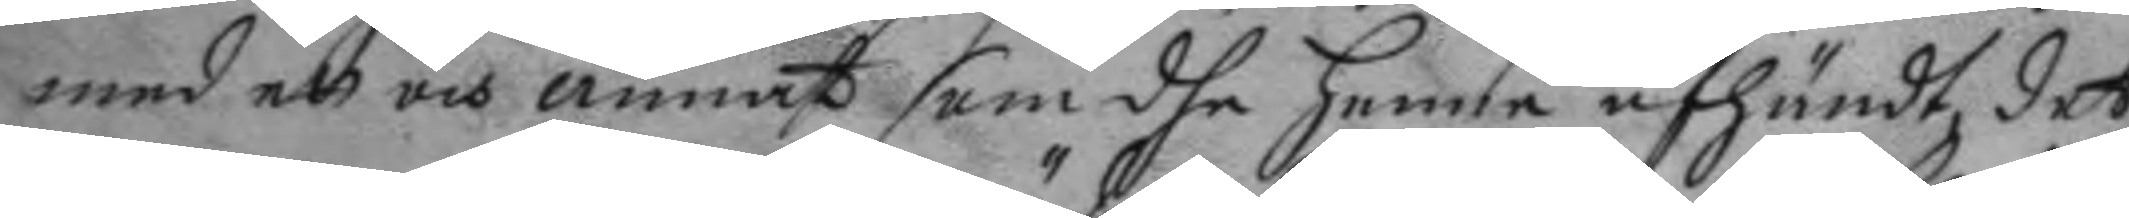med ett och annat som dhe henne afhändt det
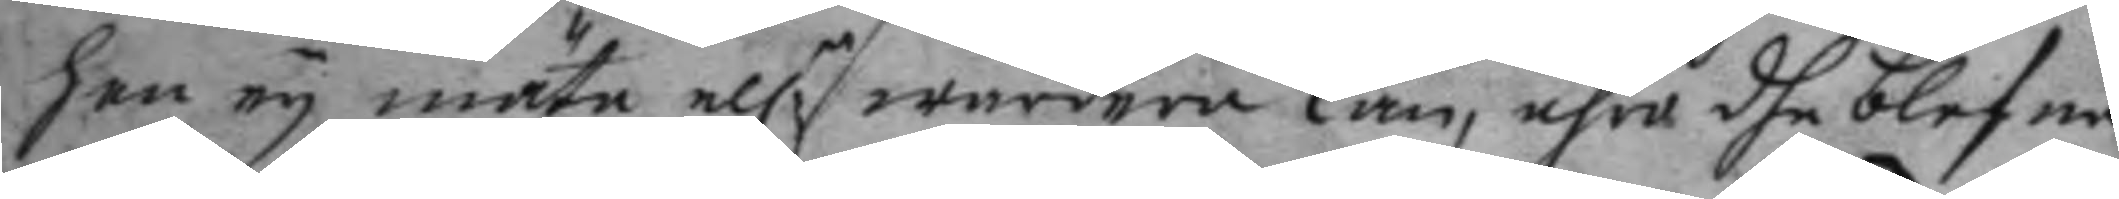hon ey mäta el:r wärdera kan, ähre dhe blefne
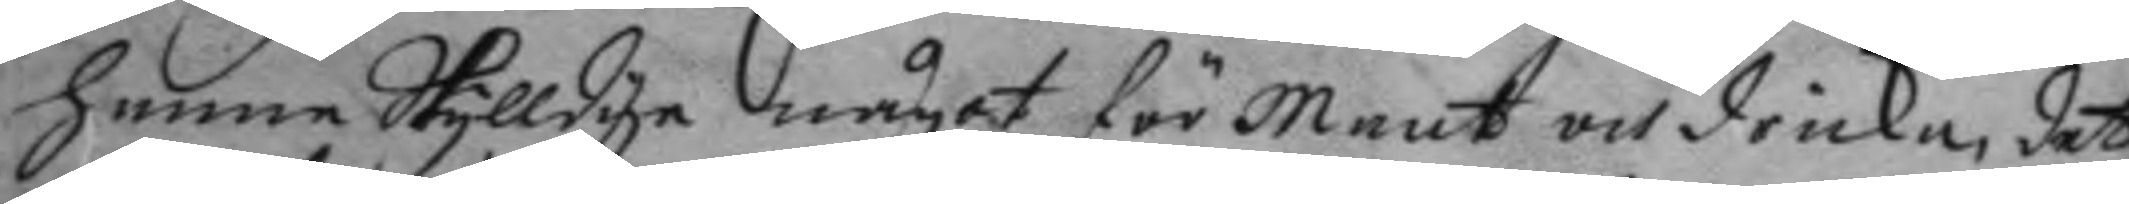henne Skylldige något för maat och dricka, det
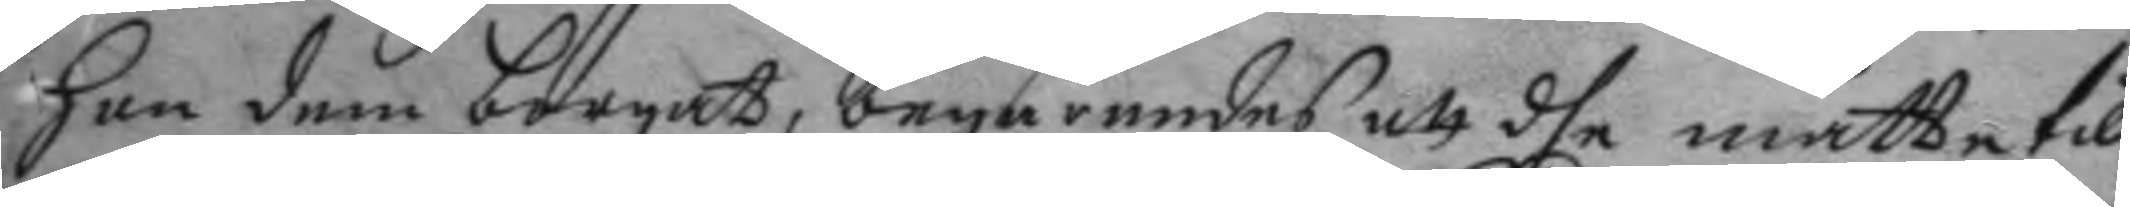hon dem borgat: begärandes att dhe måtte till¬
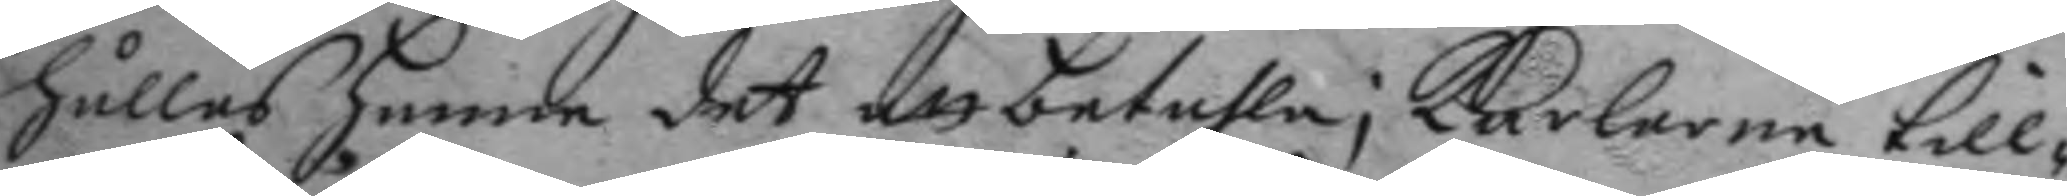hålles henne det att betahla; karlarne till¬
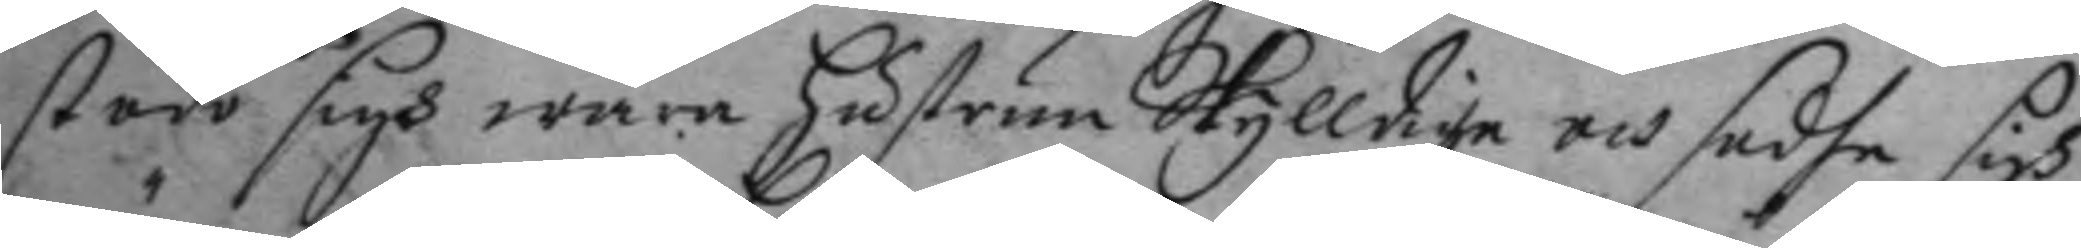stodo sigh wara hustrun Skylldige och sadhe sigh
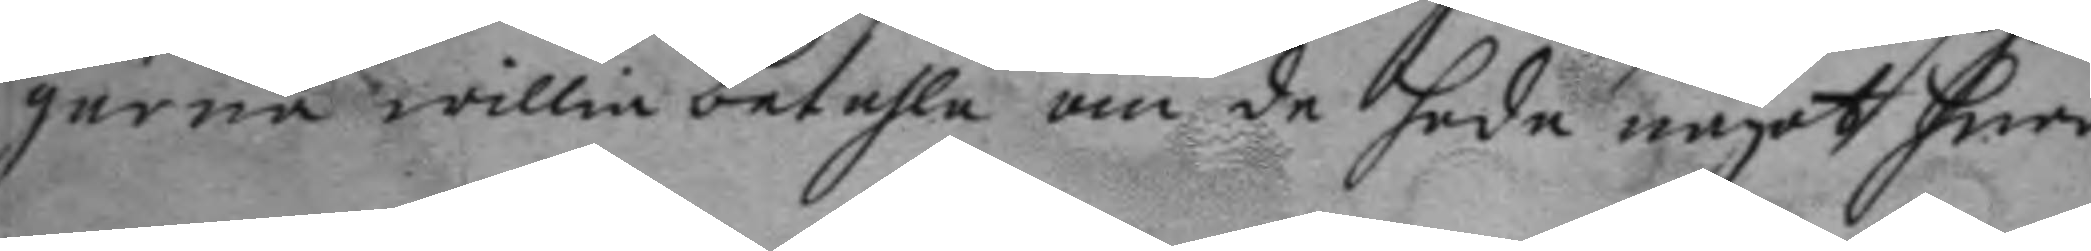gärna willia betahla om de hade något hner
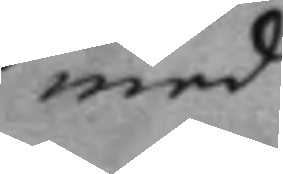med
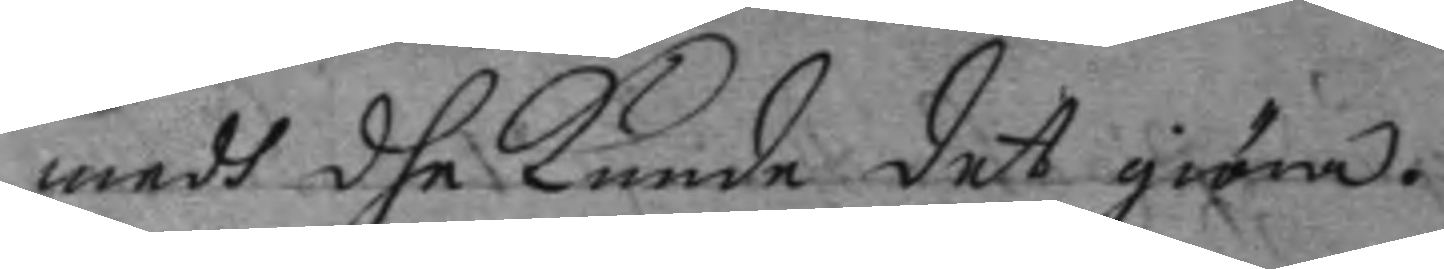medh dhe kunde det giöra.
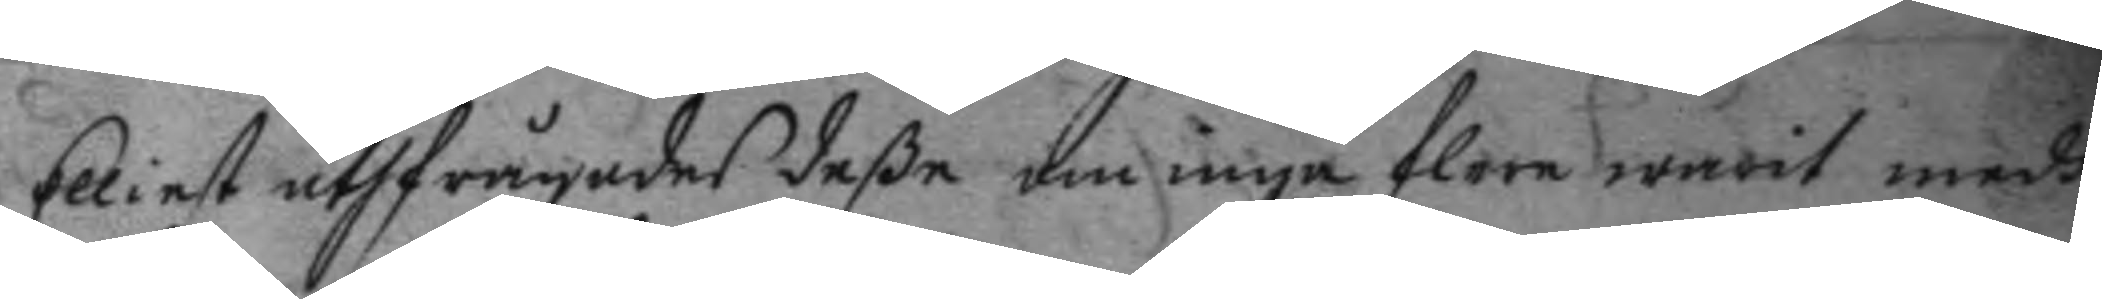Elliest uthfrågades deße om inga flere warit medh
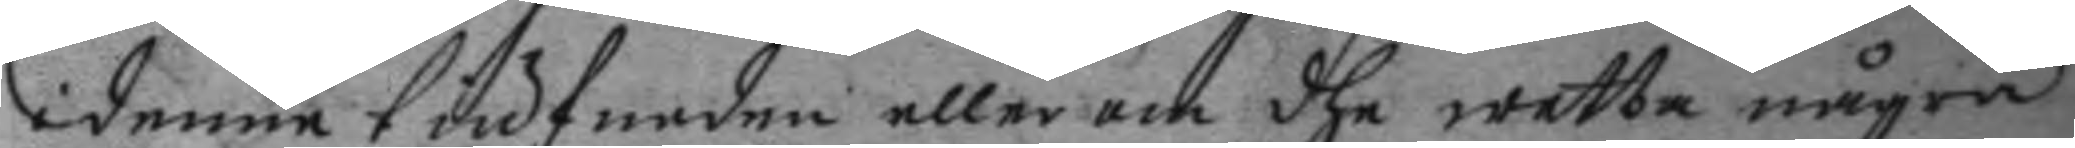i denne tiufnaden eller om dhe wetta några
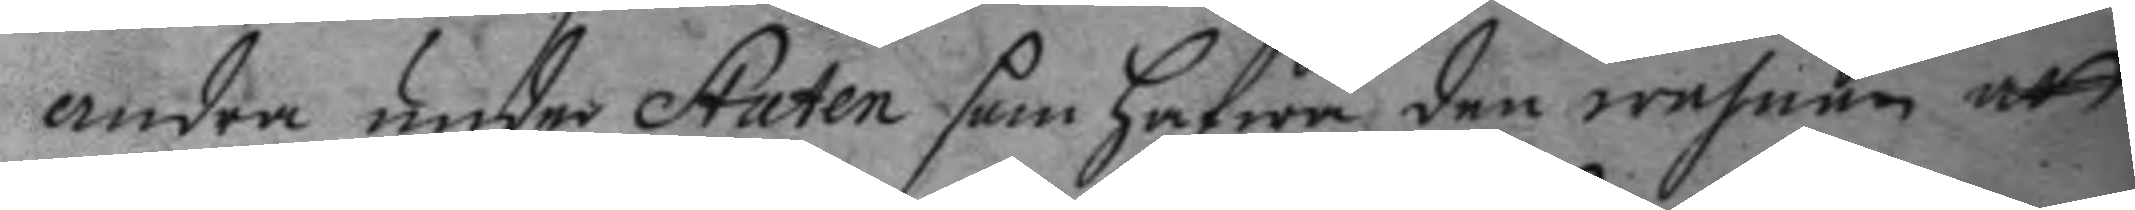andra under Staten som hafwa den wahnan att
